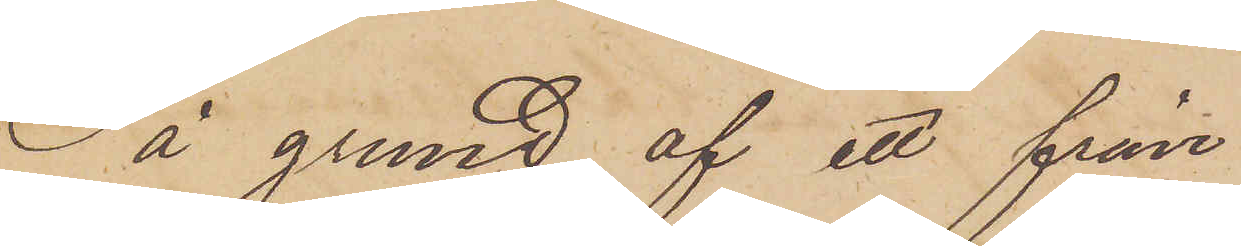På grund af ett från
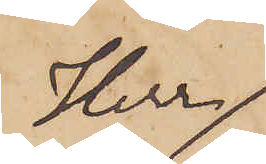Herr
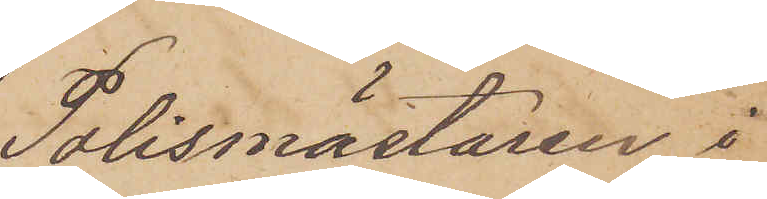Polismästaren i
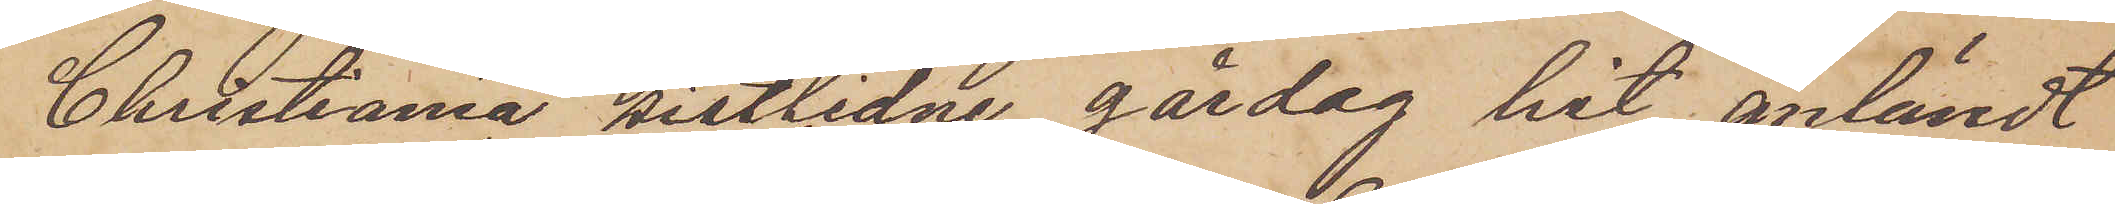Christiania sistlidne gårdag hit anländt
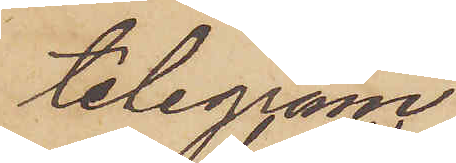telegram
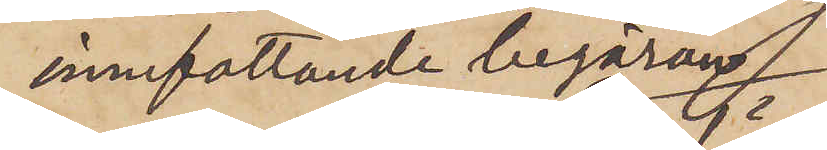innefattande begäran
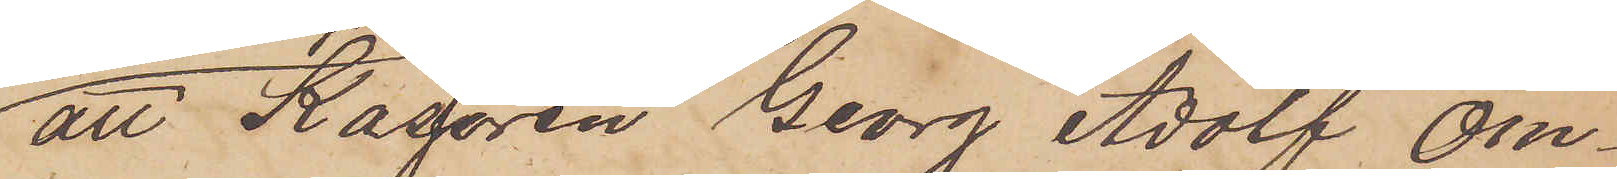att Kassören Georg Adolf Om¬
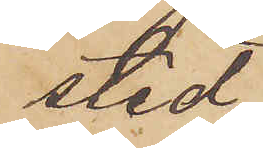sted
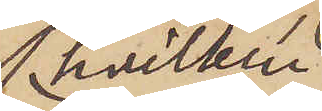hvilken
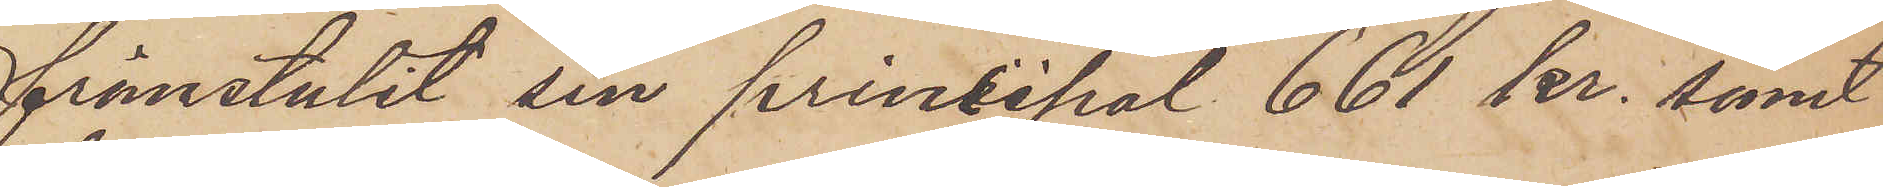frånstulit sin prinsipal 661 kr. samt
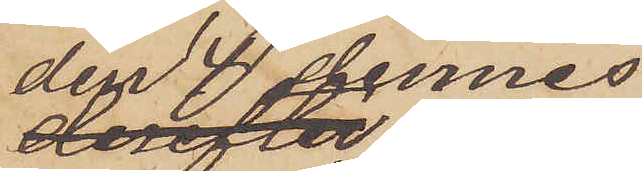den 4 dennes
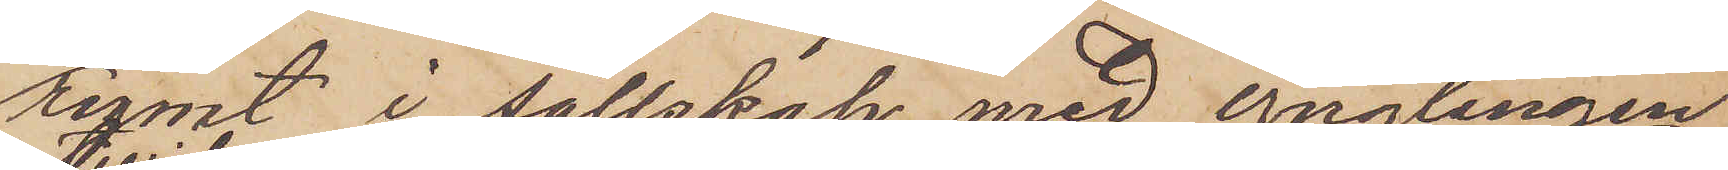rymt i sällskap med ynglingen
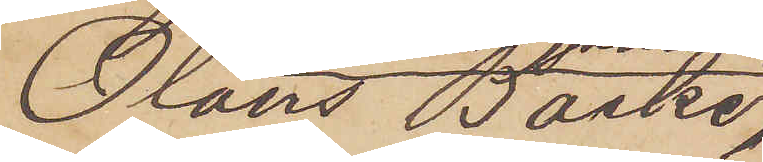Olaus Backe,
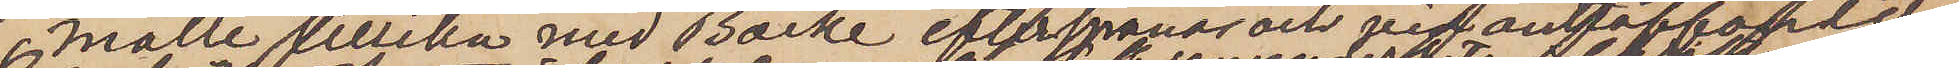måtte tillika med Backe efterspanas och vid anträffandet
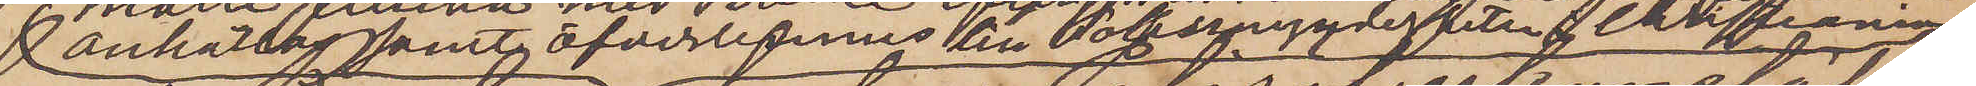anhållas samt öfverlemnas till Polismyndigheten i Christiania
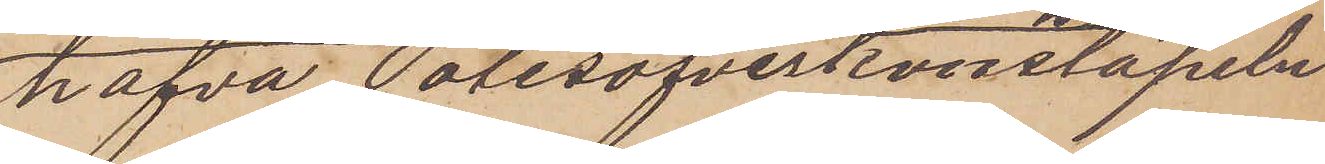hafva Polisöfverkonstapeln
